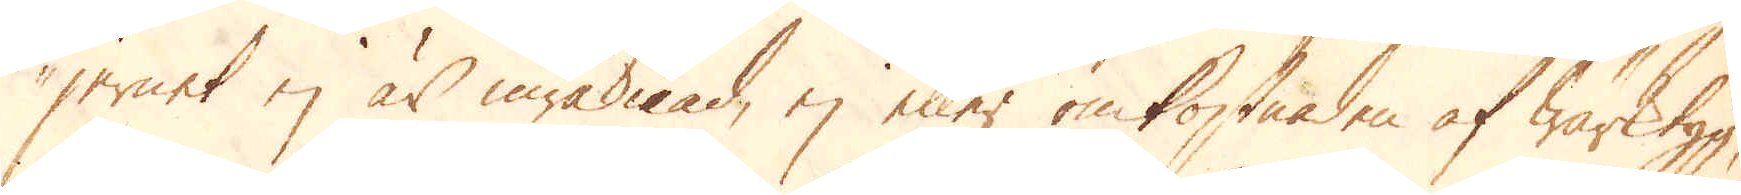jernet ej är inräknad, ej eller omkostnaden af wärktyg,
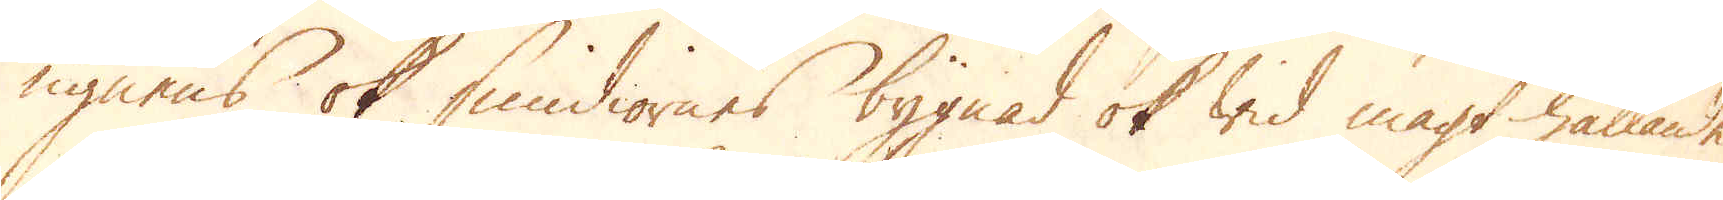ugnens ok smidiornes bygnad ok wid magt hållande
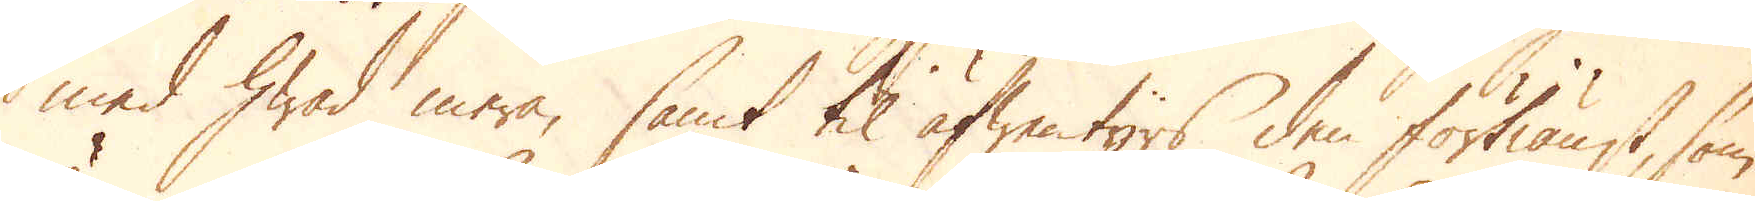med hwad mera, samt til äfwentyrs den förtiänst, som
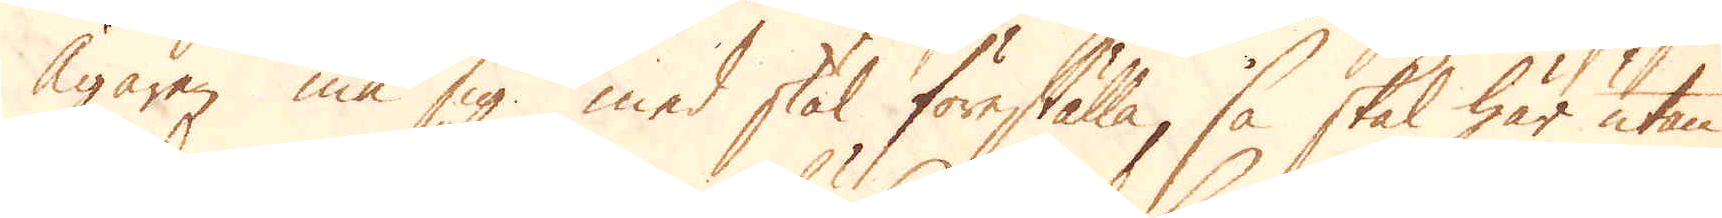Ägaren må sig med skäl föreställa, så skal här utan
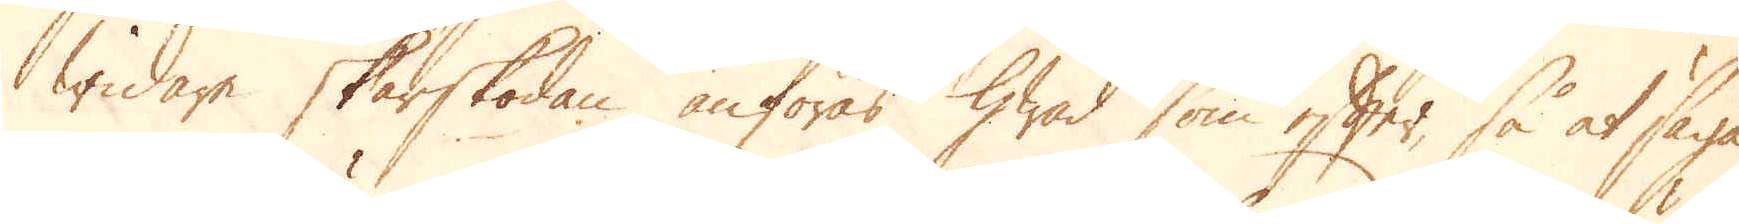widare skärskodan anföras hwad som efter, så at säga,
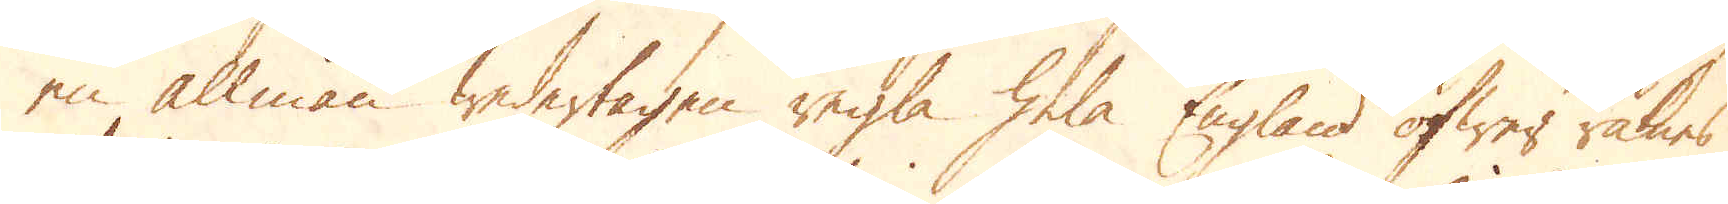en allmän wedertagen regla hela England öfwer räknas
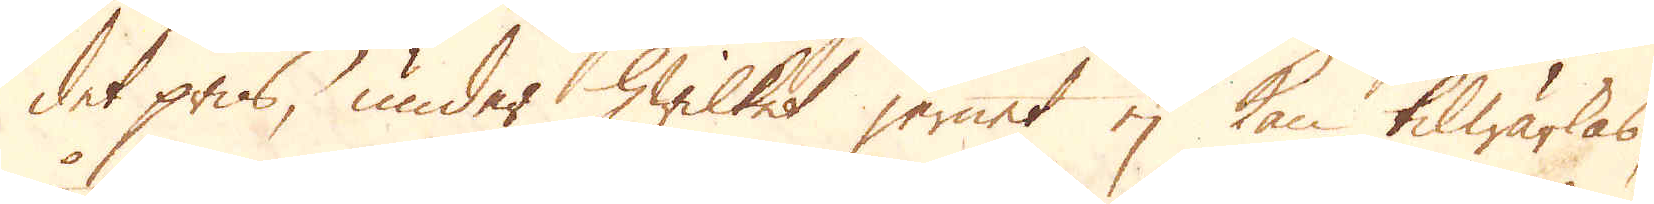det pris, under hwilket jernet ej kan tilwärkas,
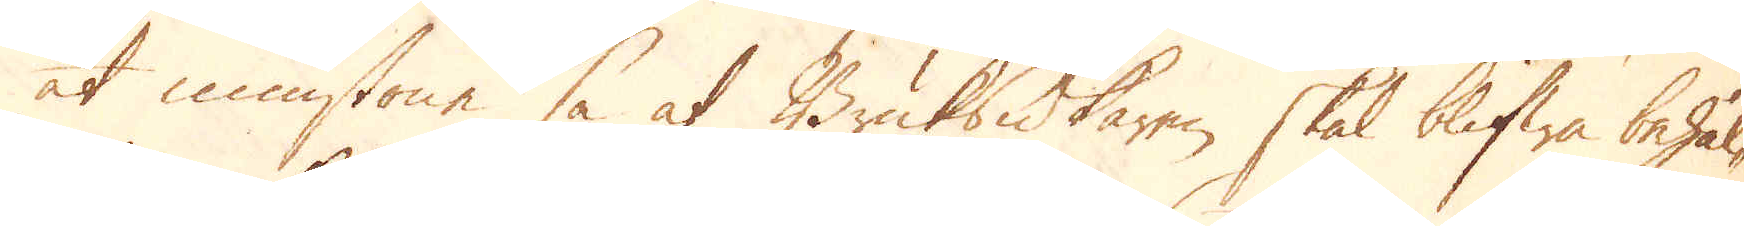åt minstone så at Bruksidkaren skal blifwa behål-
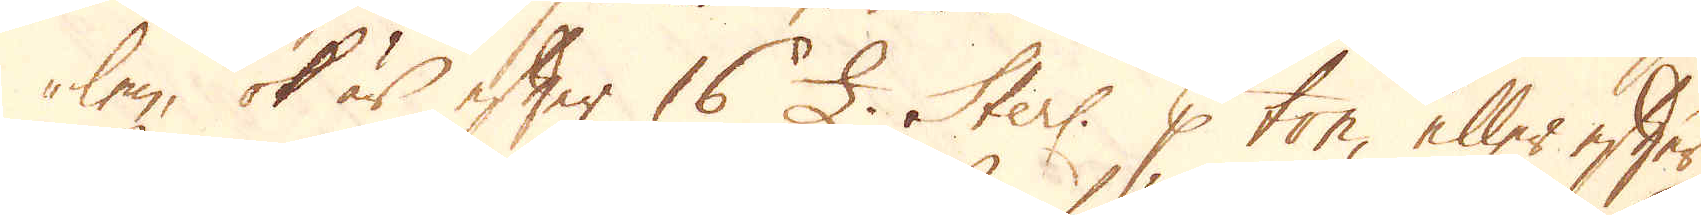len, ok är efter 16 £. Sterl: p ton, eller efter
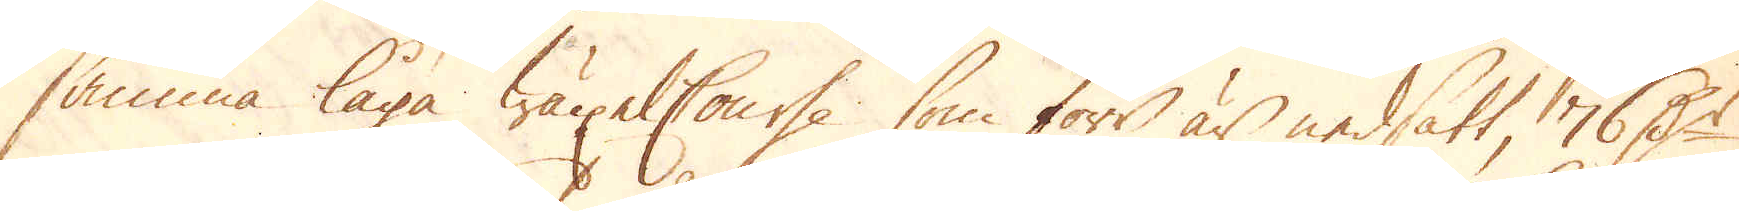samma låga wäxel Course, som först är nedsatt, 76 D:r
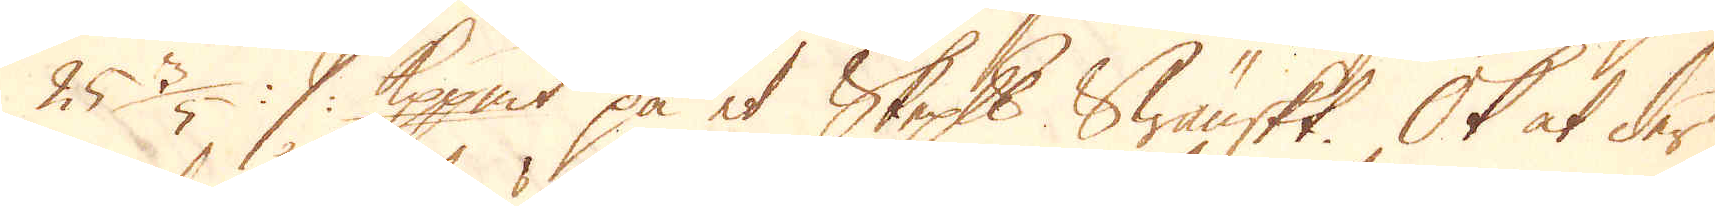25 3/5 :/: Kopp:mt på et skeppund Swänskt. Ok at der
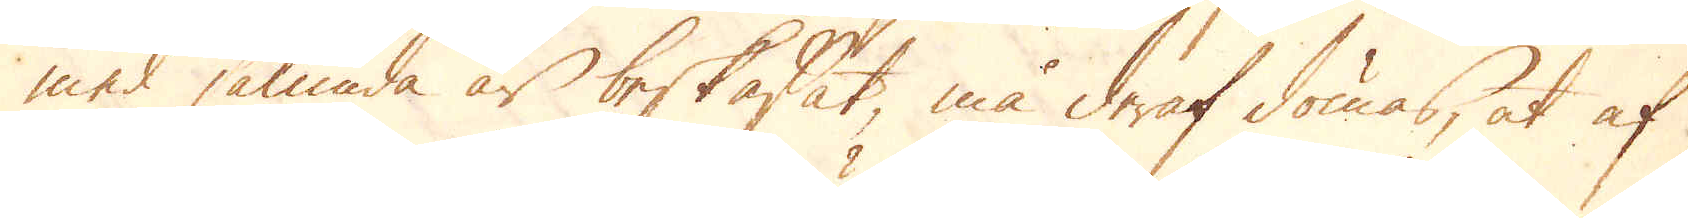med sålunda är beskaffat må deraf dömas, at af
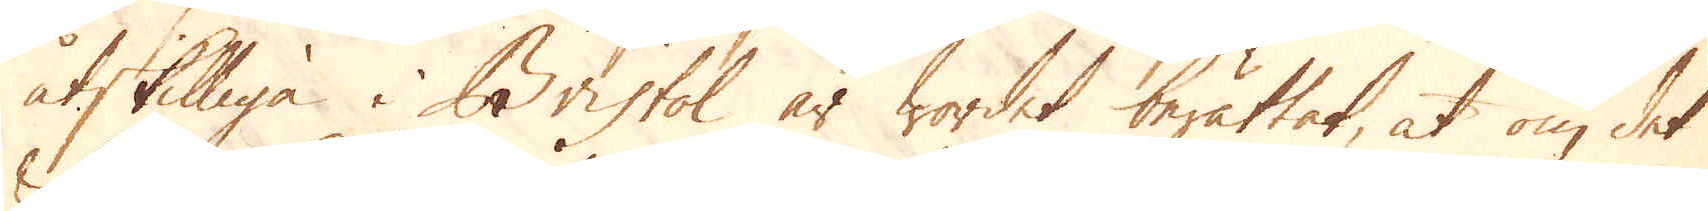åtskilliga i Bristol är wordet berättat, at om det
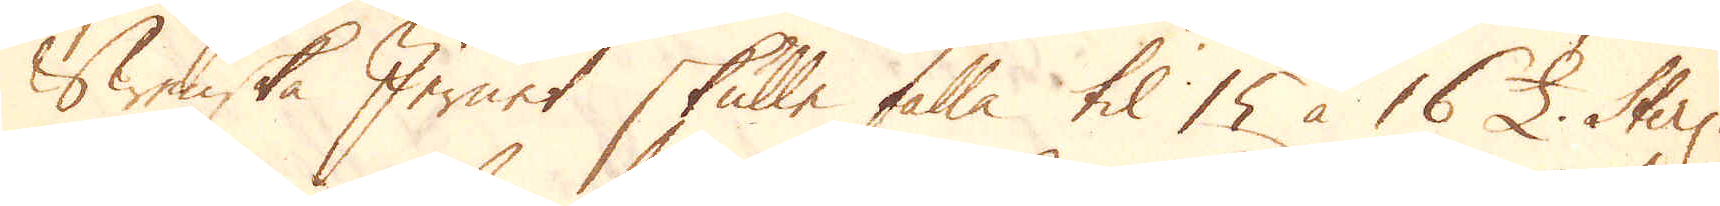Swenska Jernet skulle falla til 15 à 16 £. Sterl.
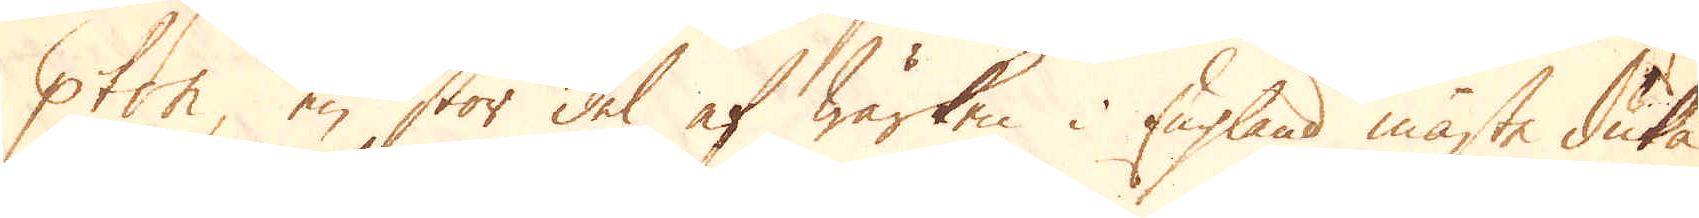p ton, en stor del af Wärken i England måste duka
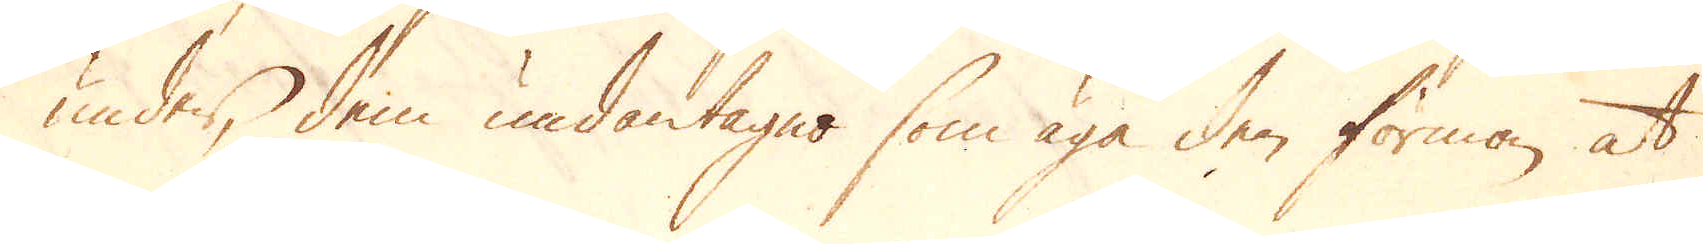under, dem undantagne som äga den förmon, att
